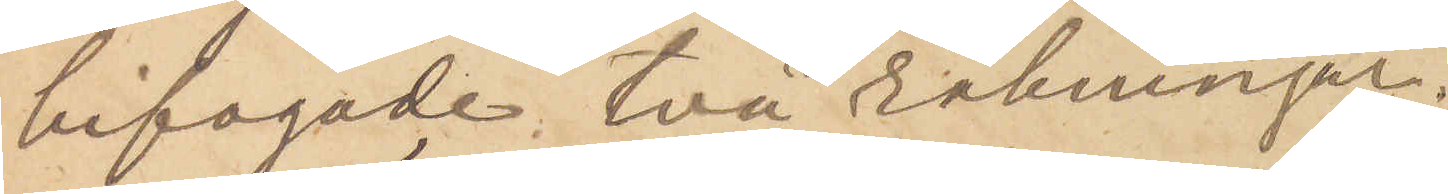bifogade två räkningar.
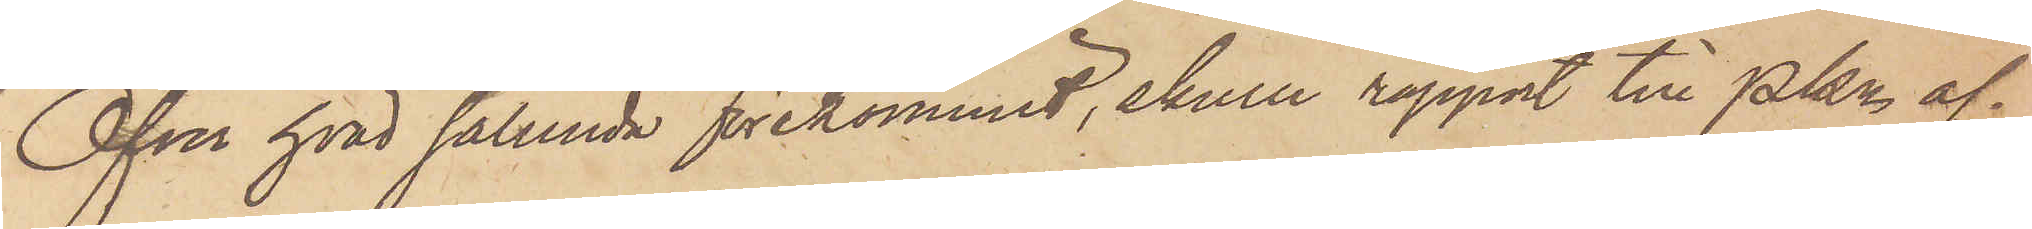Öfver hvad sålunda förekommit, ehuru rapport till Pkn af¬
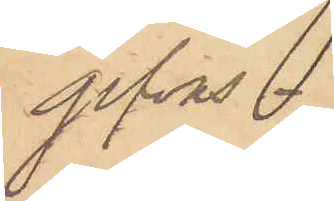gifvas.
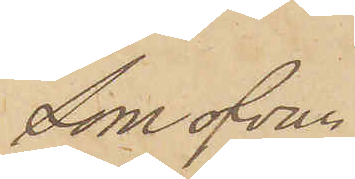Som ofvan
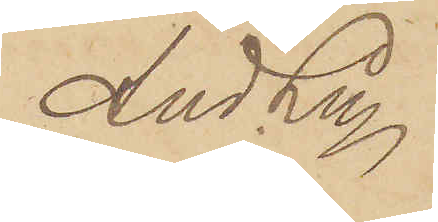And Ln
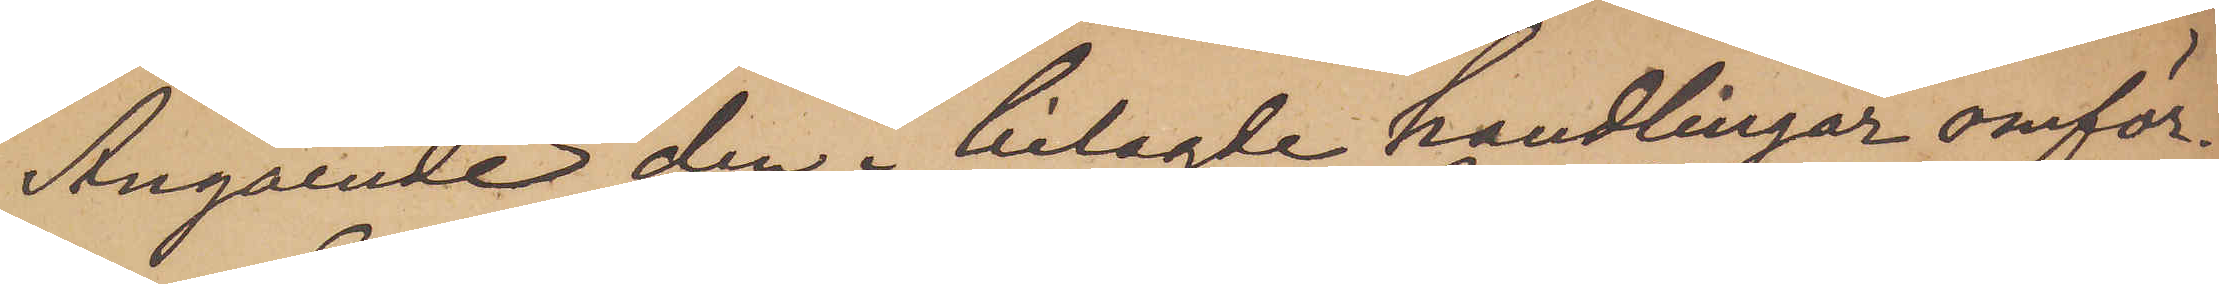Angående den i bilagde handlingar omför¬
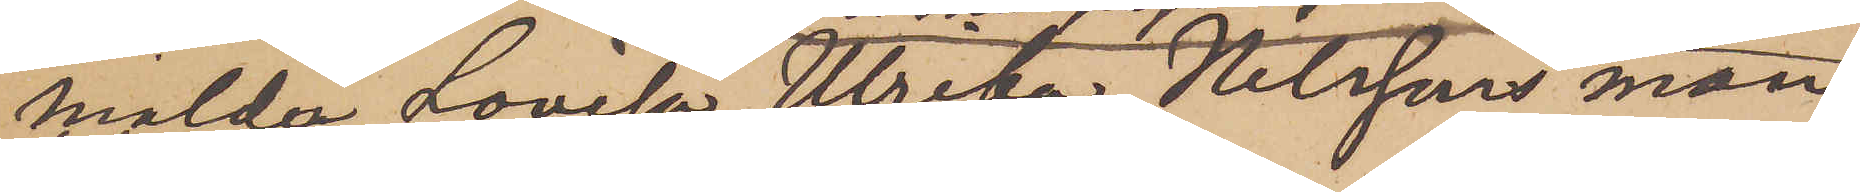mälda Lovisa Ulrika Nilssons man
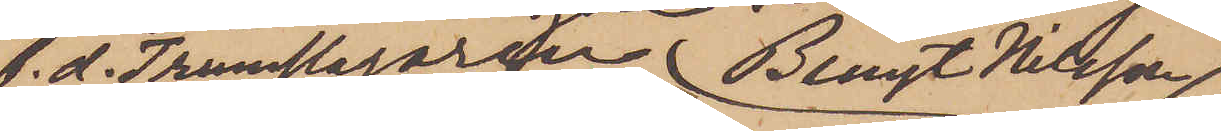f. d. Trumslagaren Bengt Nilsson,
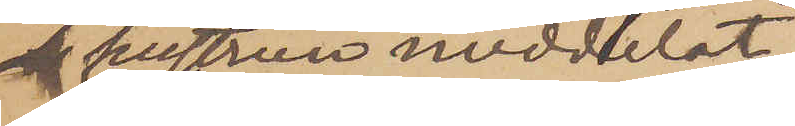hustrun meddelat
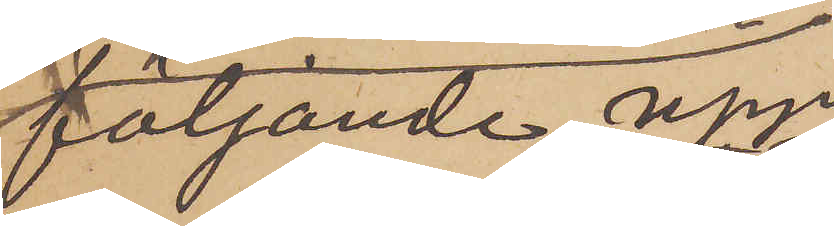följande upp¬
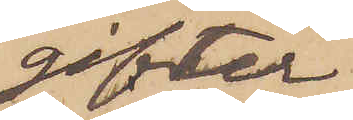gifter
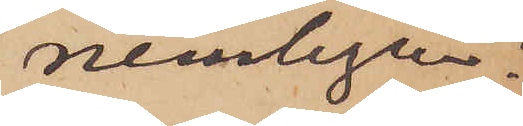nemligen:
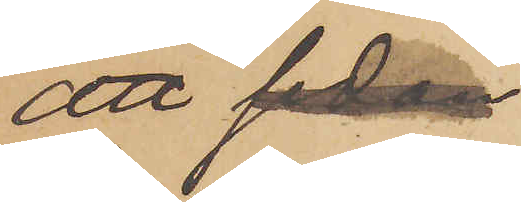att sedan
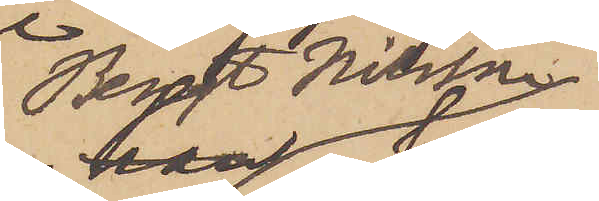Bengt Nilsson
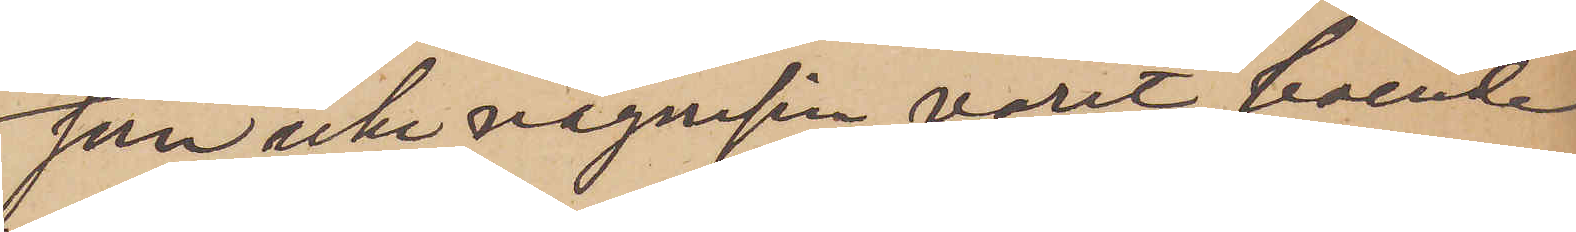som icke någonsin varit boende
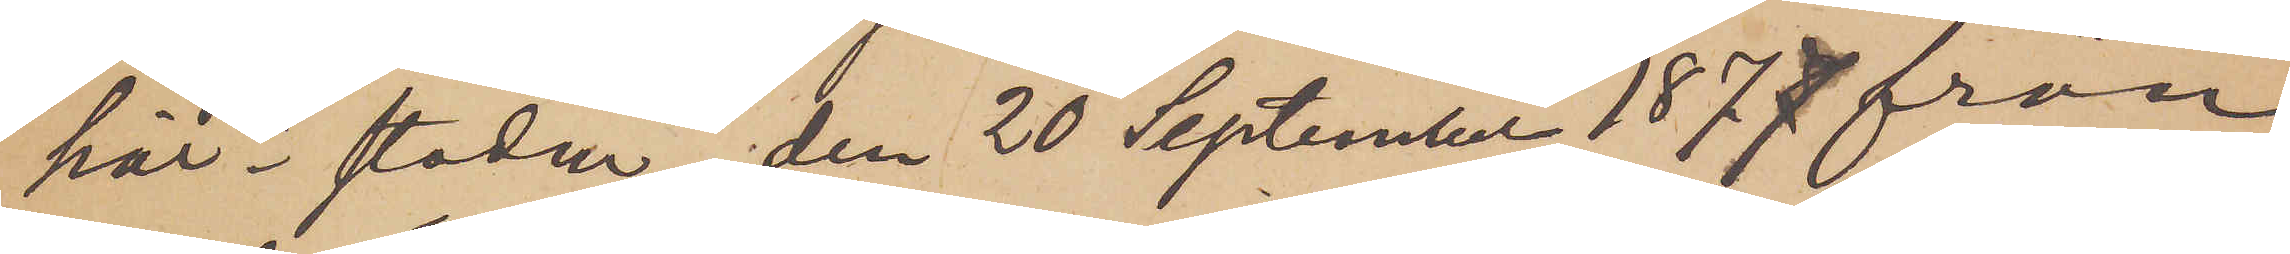här i staden, den 20 September 1877 från
